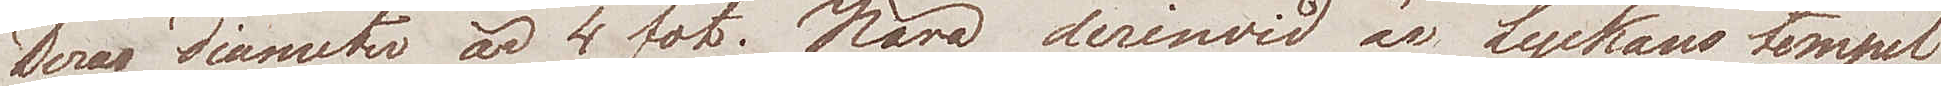Deras diameter är 4 fot. Nära derinwid är Lyckans tempel
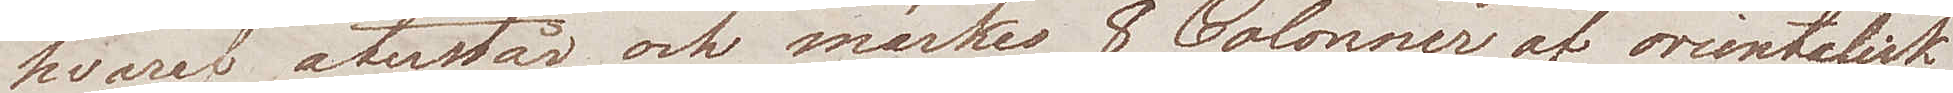hvaraf återstår och märkes 8 Colonner af orientalisk
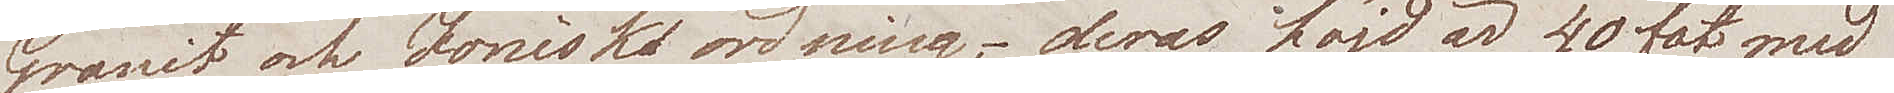Granit och Jonisk ordning, deras höjd är 40 fot med
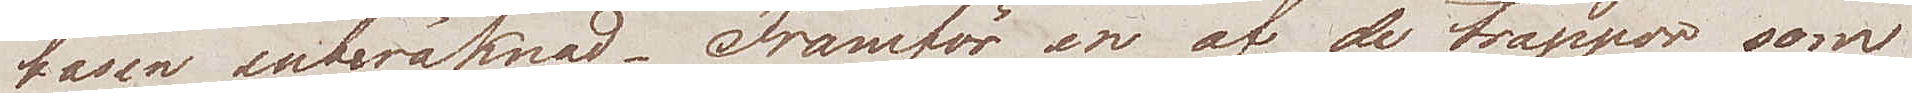basen inberäknad. Framför en af de trappor som
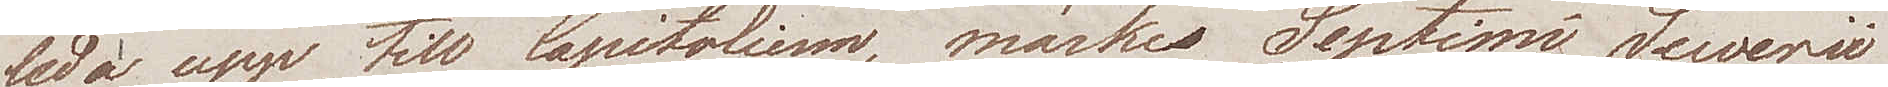leda upp till Capitolium, märkes Septimi Sewerii
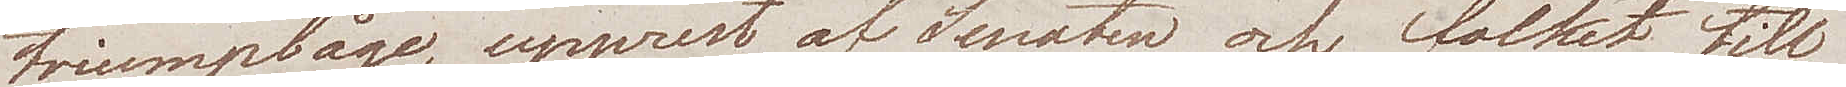triumpbåge, upprest af Senaten och folket till
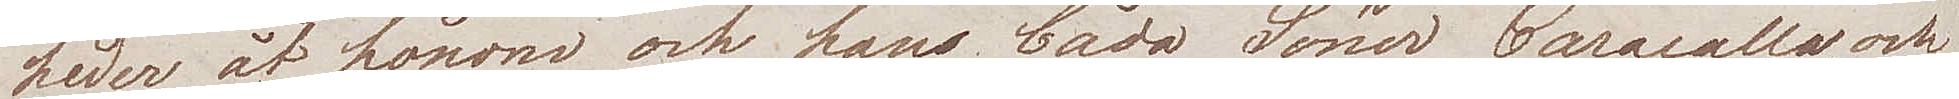heder åt honom och  hans båda Söner Caracalla och
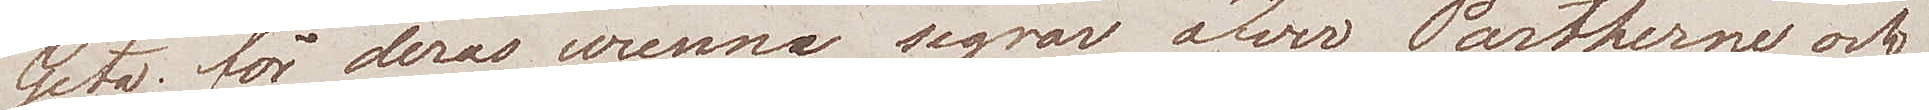Geta; för deras twenne segrar öfver Partherne och
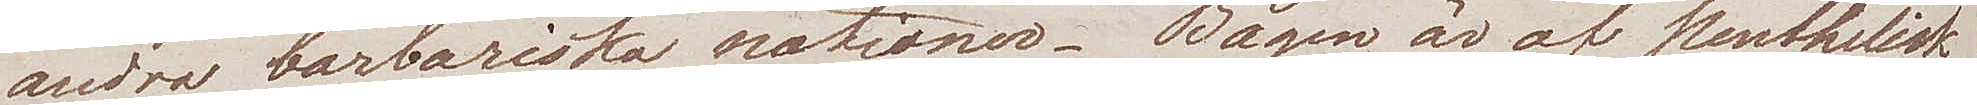andra barbariska nationer. Bågen är af penthelisk
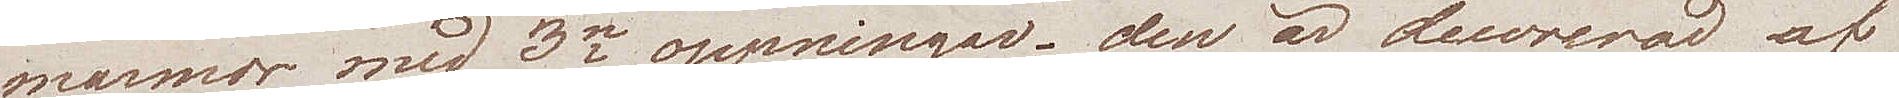marmor, med 3ne öppningar; den är decorerad af
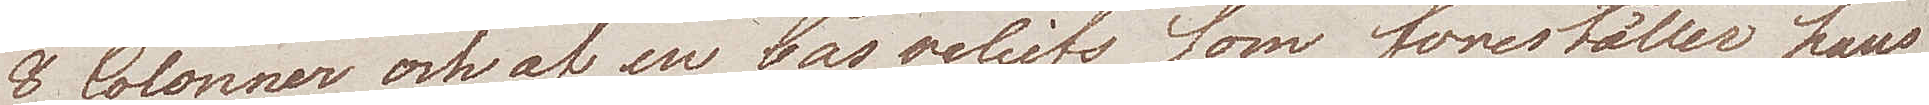8 Colonner och af en bas reliefs som föreställer hans
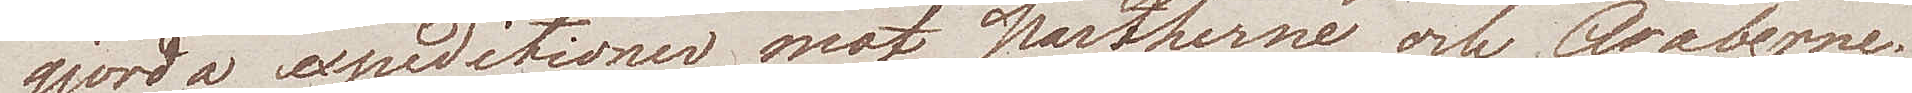gjorda expeditioner mot Partherne och Araberne.
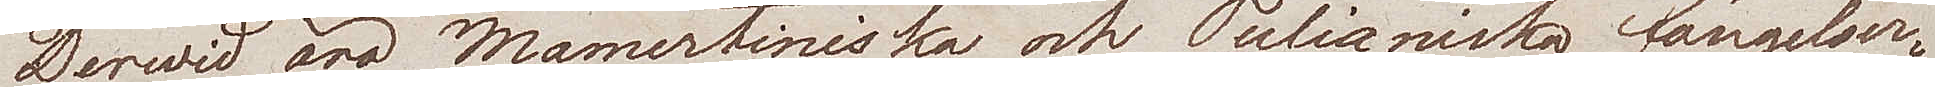Derwid äro Mamertiniska och Julianiska fängelser¬
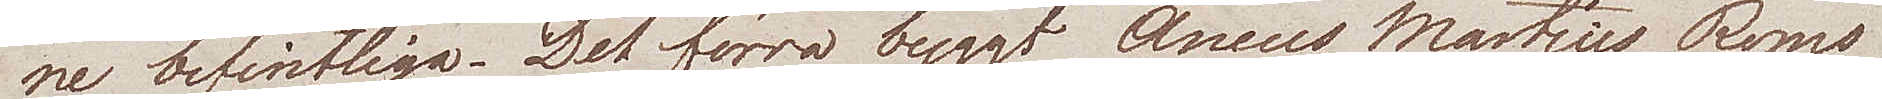ne befintliga. Det förra byggt Ancus Martius Roms
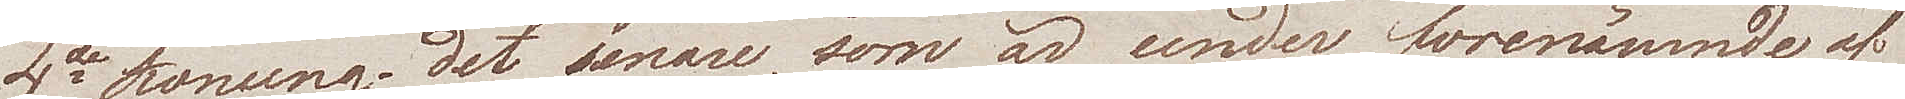4de konung, det senare, som är under förenämnde, af
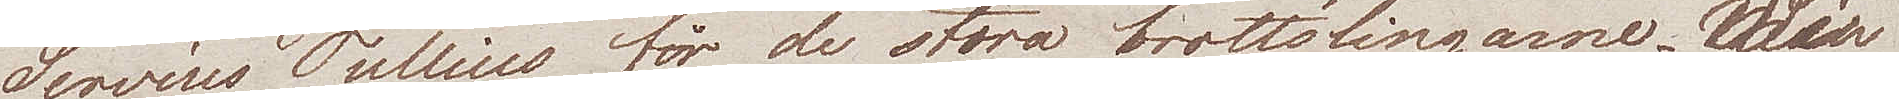Servius Tullius för de stora brottslingarne. Wi
